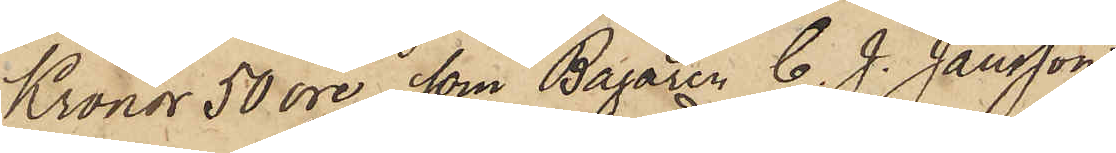Kronor 50 öre, som Bagaren C. J. Jansson,
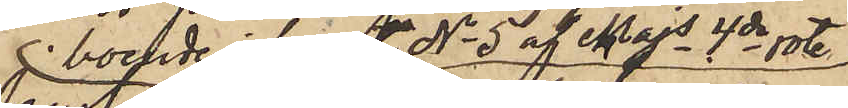 boende i huset No 5 af Majs 4de rote
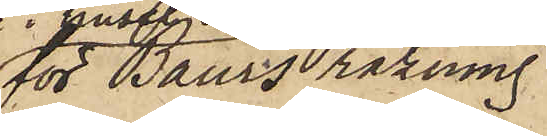för Baurs räkning
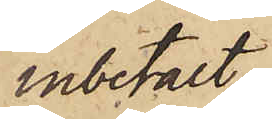inbetalt
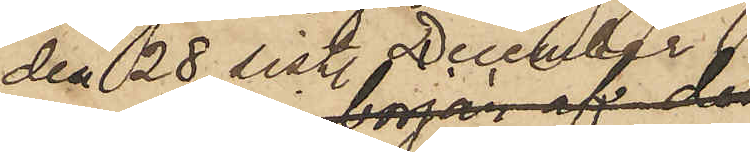den 28 sist. December
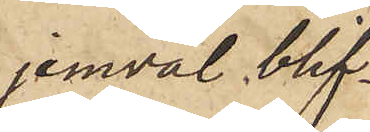jemväl blif¬
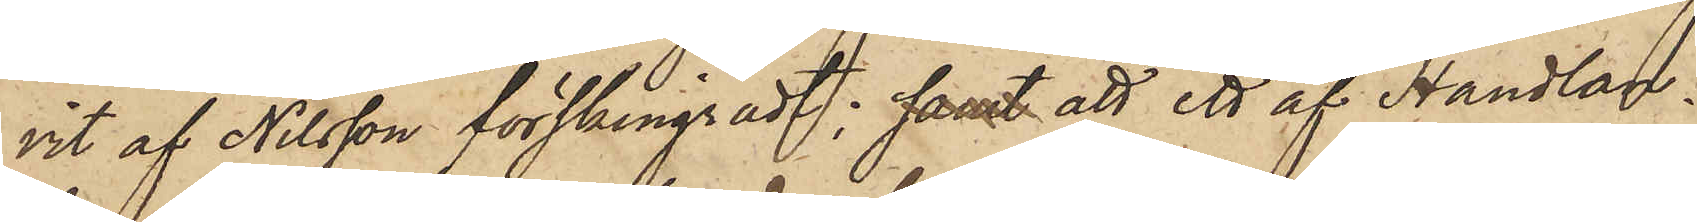vit af Nilsson förskingradt; samt att ett af Handlan¬
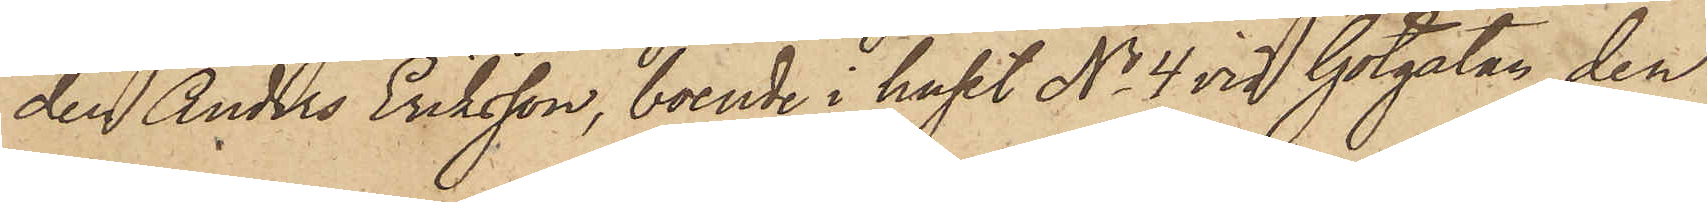den Anders Eriksson, boende i huset No 4 vid Götgatan den
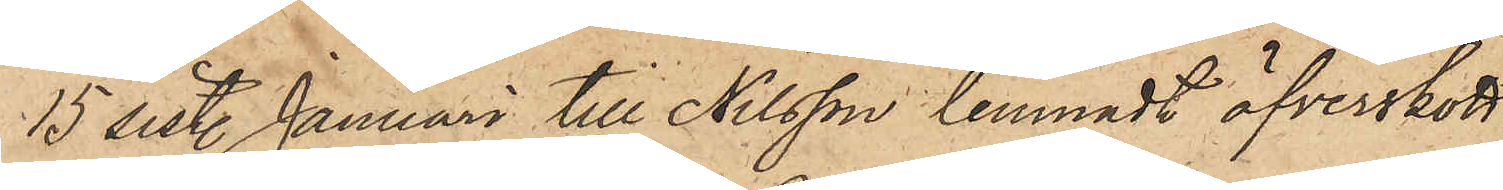15 sist. Januari till Nilsson lemnadt öfverskott
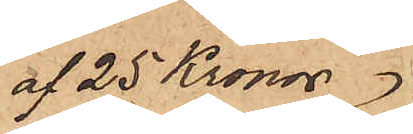af 25 Kronor
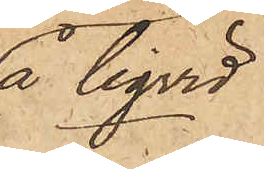å liqvid
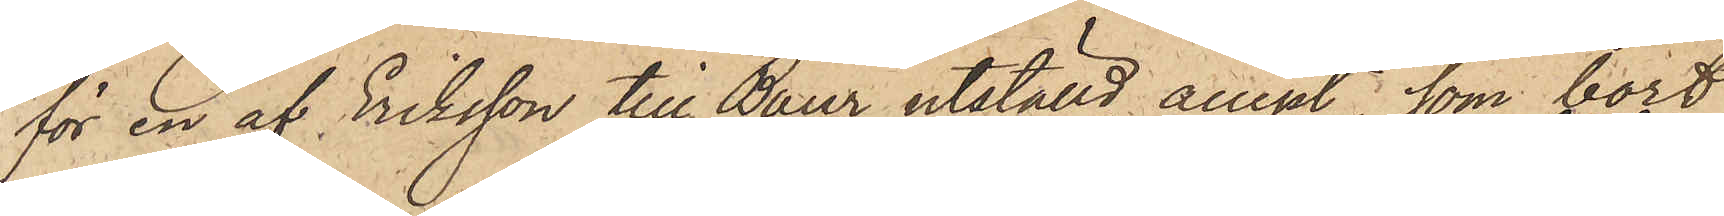för en af Eriksson till Baur utställd accept, som bort
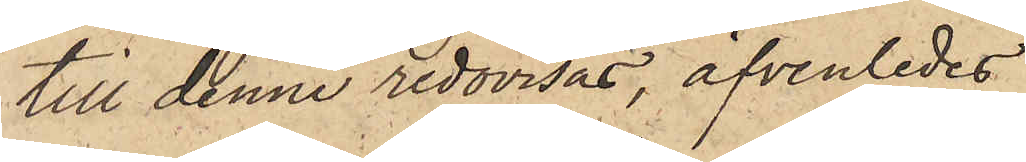till denne redovisas, äfvenledes
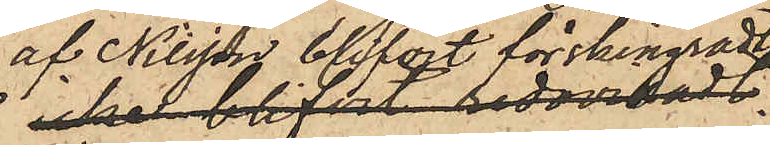af Nilsson blifvit förskingradt;
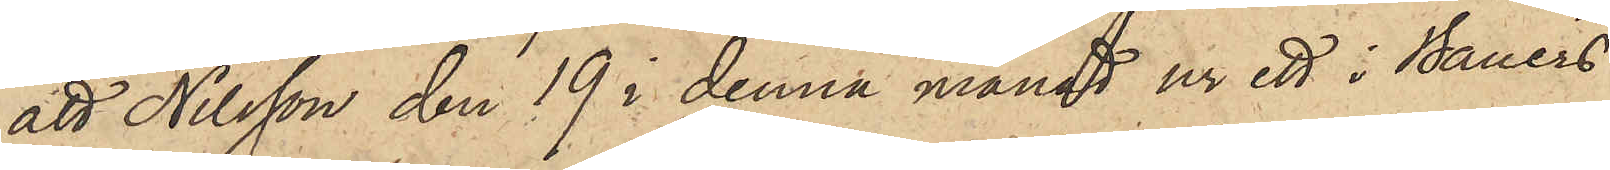att Nilsson den 19 i denna månad ur ett i Bauers
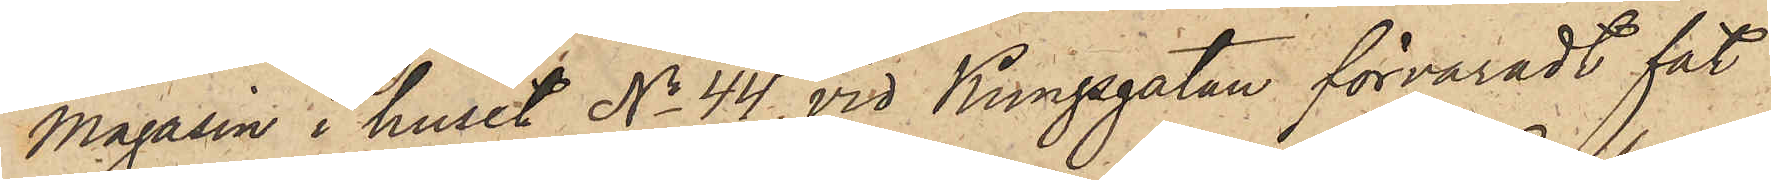magasin i huset No 44 vid Kungsgatan förvaradt fat
